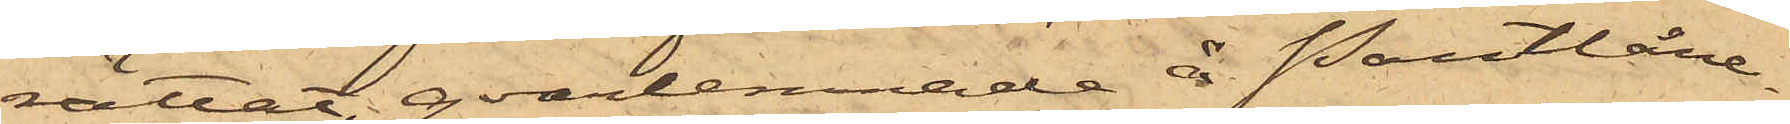rättat, qvarlemnade å Pantlåne¬
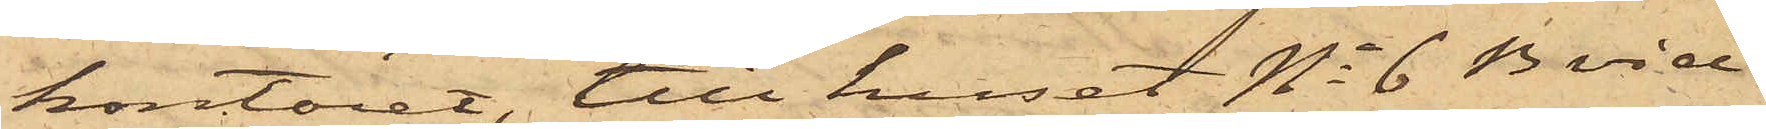kontoret, till huset No 6 B vid
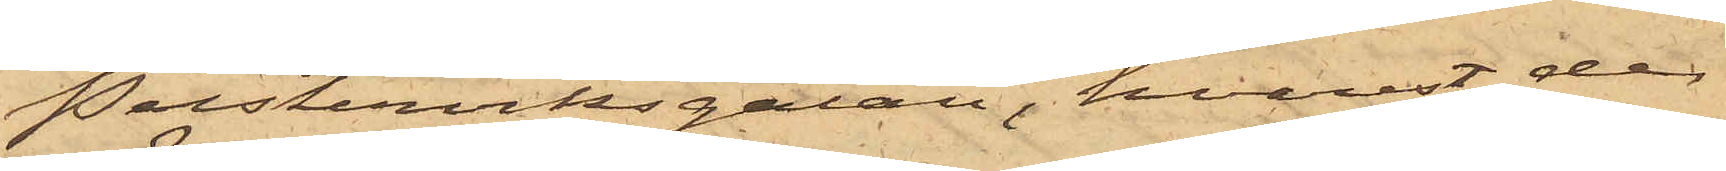Pusterviksgatan, hvarest de
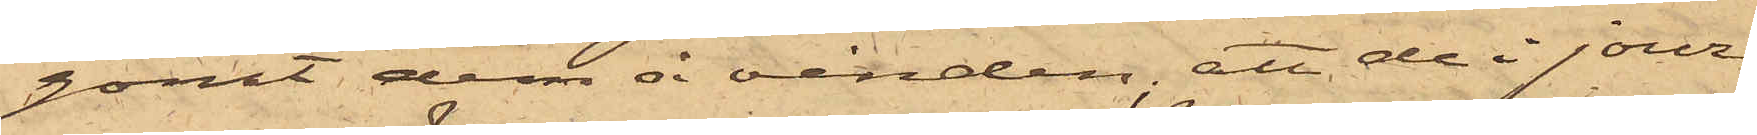gömt dem å vinden, att de i jour¬
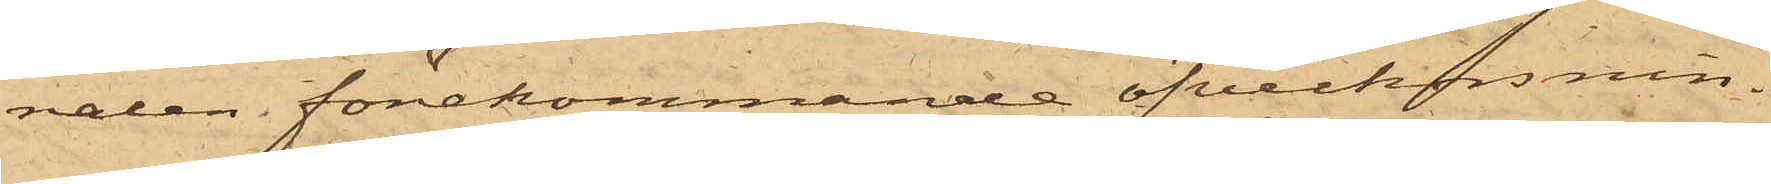nalen förekommande öfverkorsnin¬
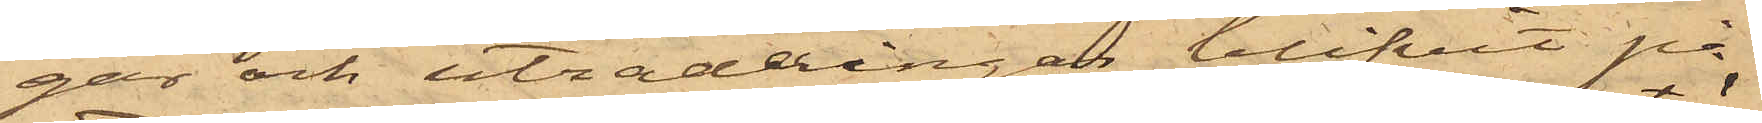gar och utraderingar blifvit på
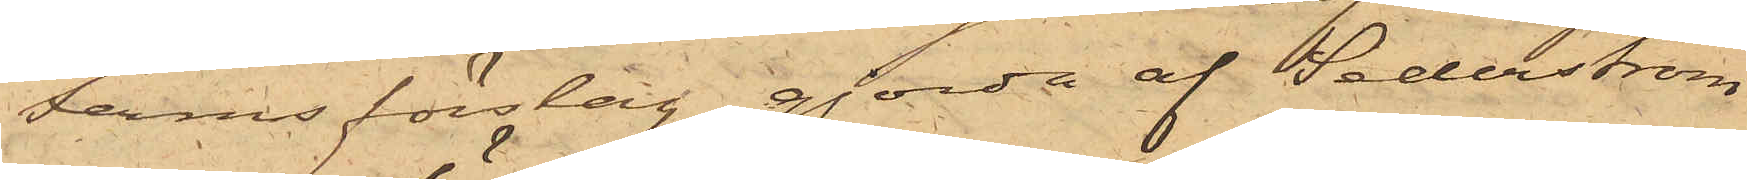Ferms förslag gjorda af Sederström
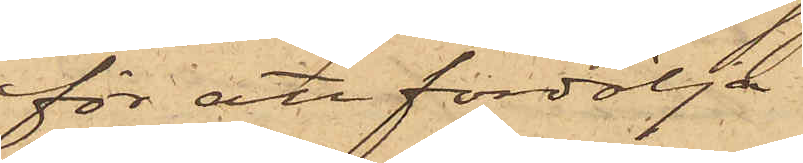för att fördölja
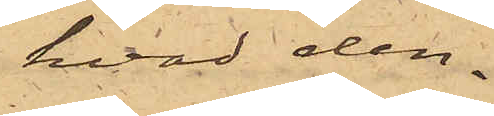hvad den¬
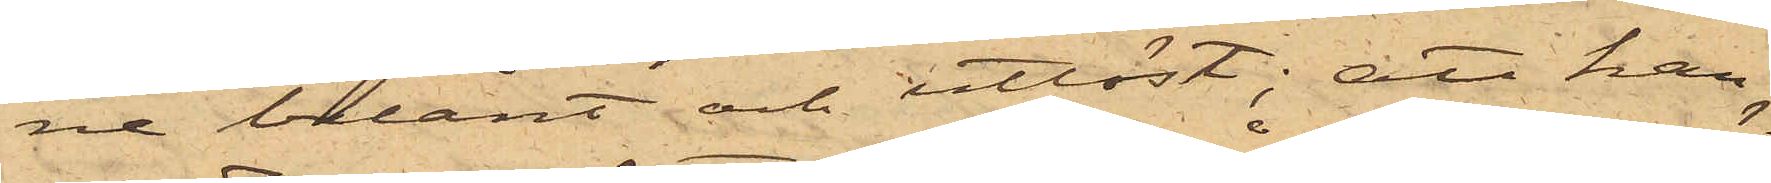ne belånt och utlöst; att han
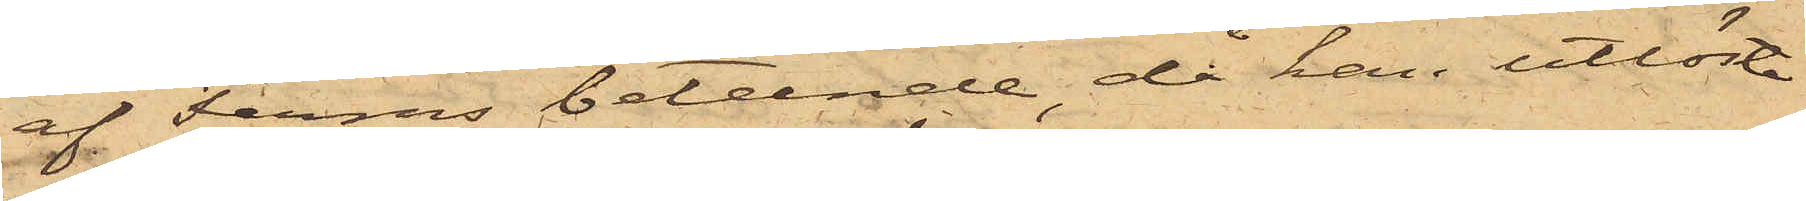af Ferms beteende, då han utlöste
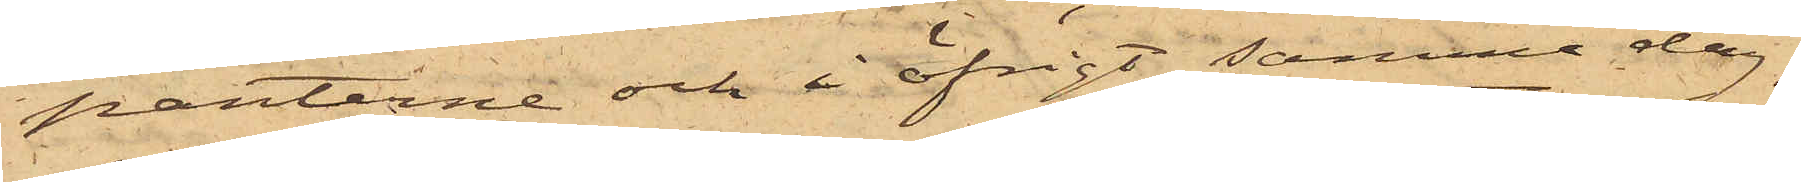panterne och i öfrigt samma dag,
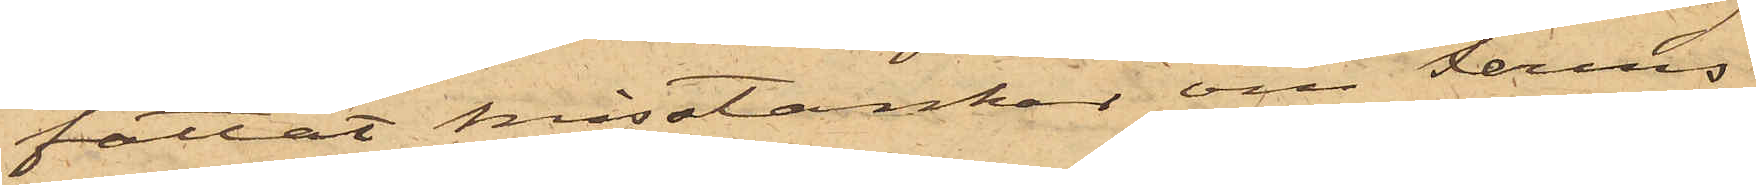fattat misstankar om Ferms
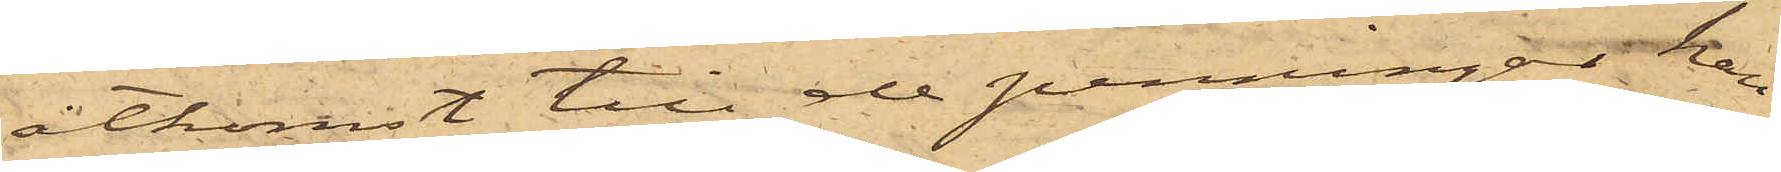åtkomst till de penningar han
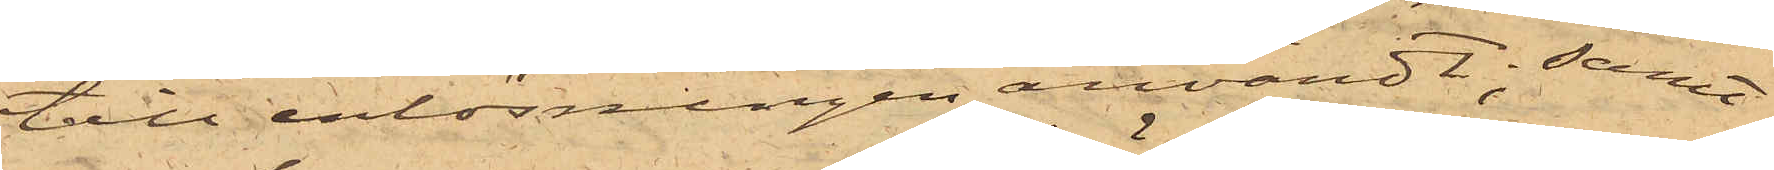till inlösningen användt; samt
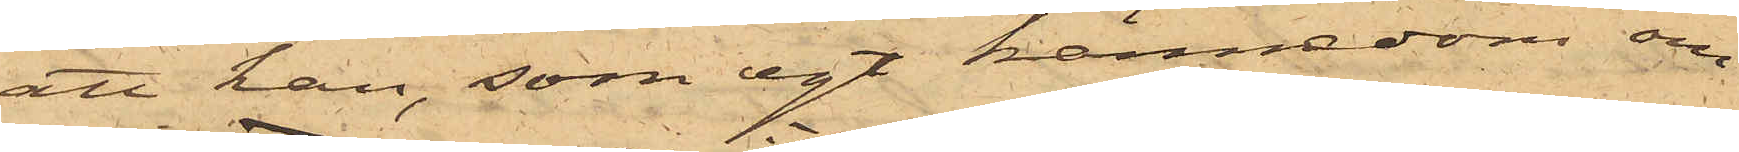att han, som egt kännedom om
